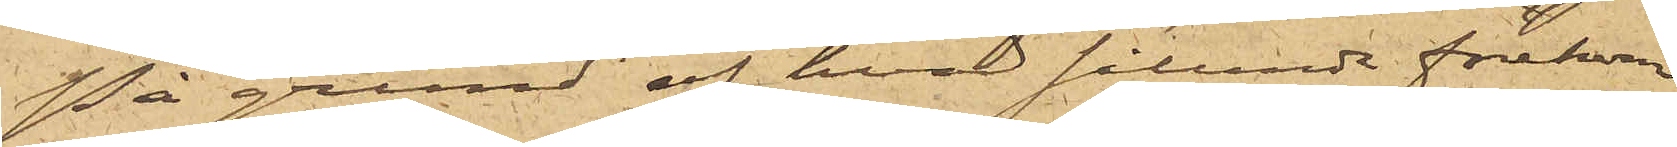På grund af hvad sålunda förekom¬
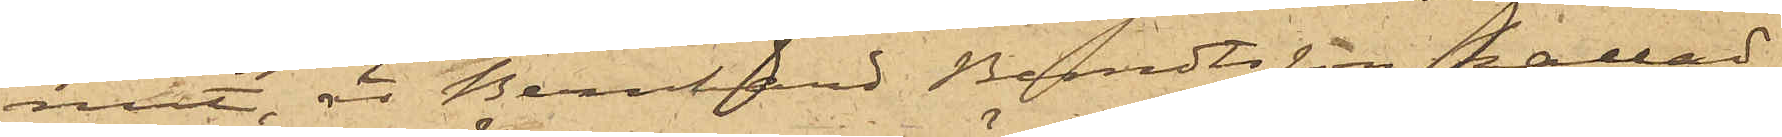mit, är Bernhard Berndtsson kallad
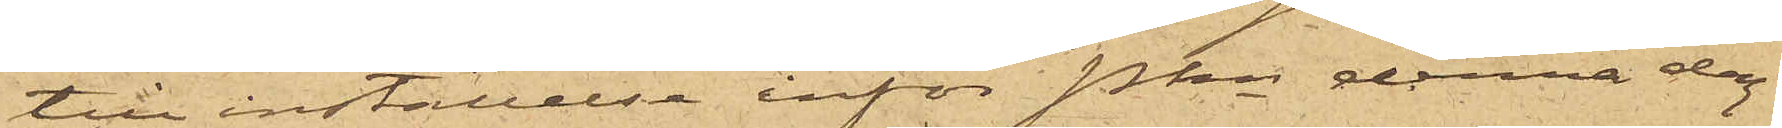till inställelse inför Pkn denna dag.
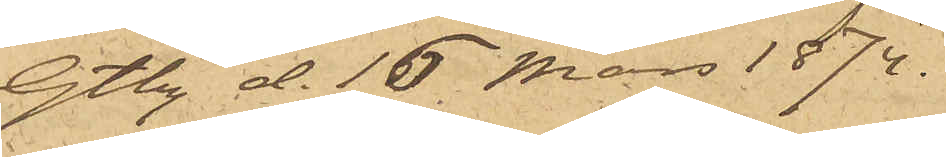Gtbg d. 16 Mars 1874.
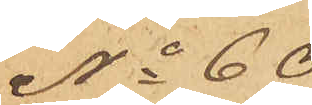No 60
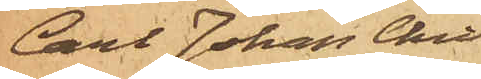Carl Johan Chri¬
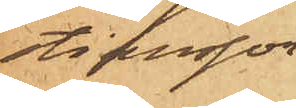tiansson
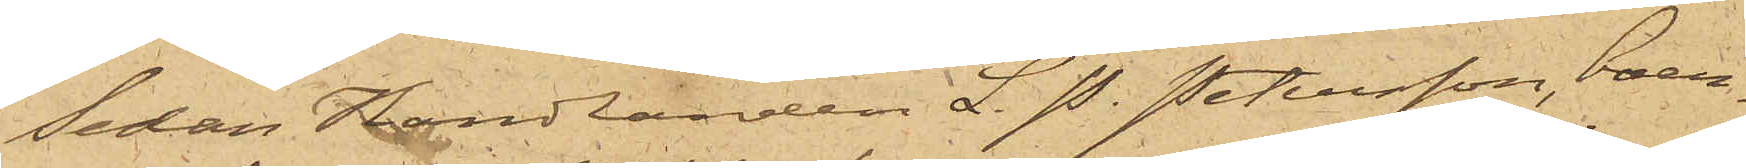Sedan Handlanden L. P. Petersson, boen¬
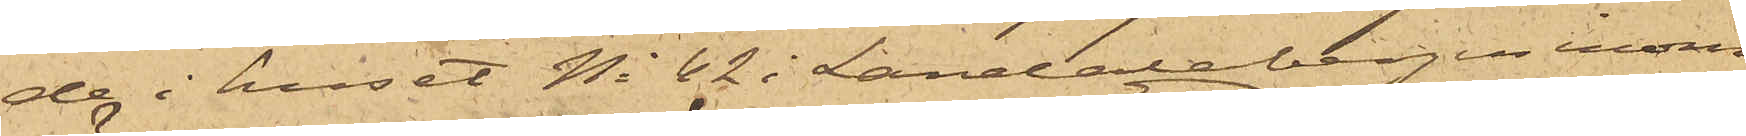de i huset No 62 i Landalabergen inom
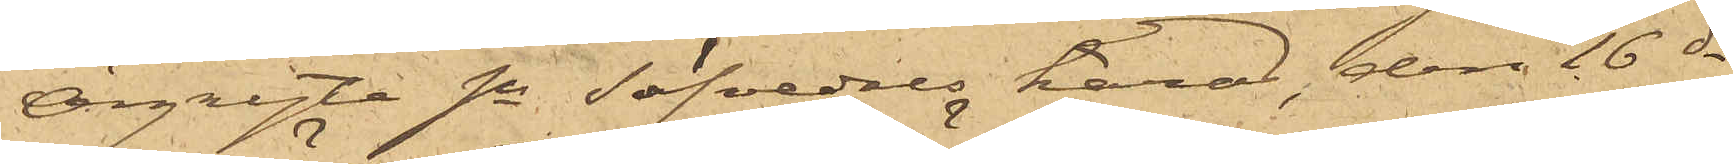Örgryte sn Säfvedals härad, den 16 ds
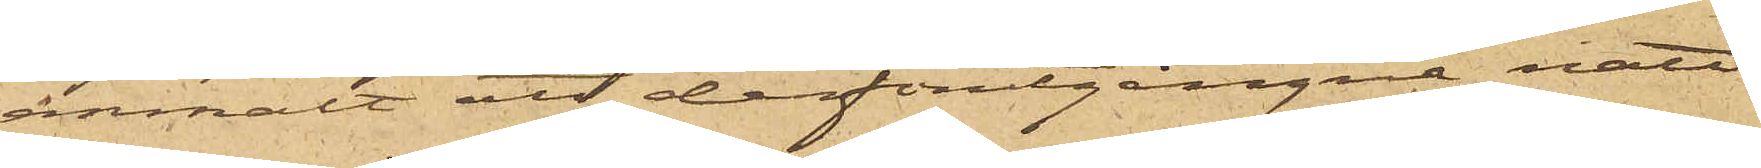anmält att derförutgångne natt
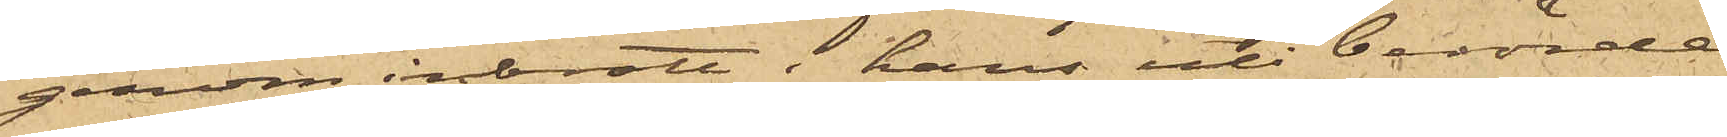genom inbrott i hans uti berörde
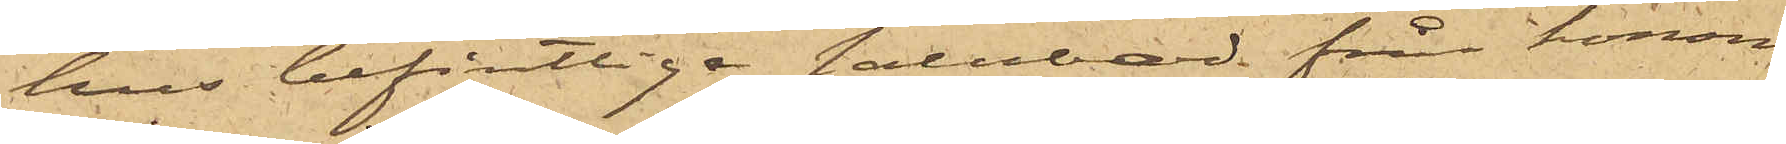hus befintlige salubod från honom
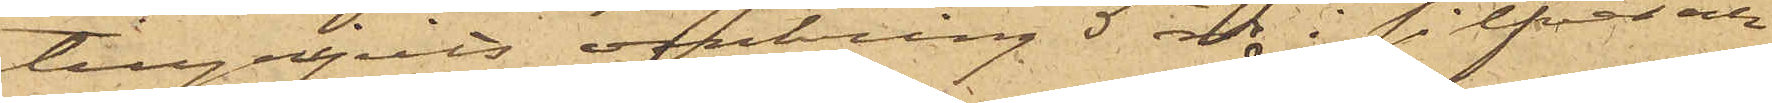tillgripits omkring 5 rdr i silfver och
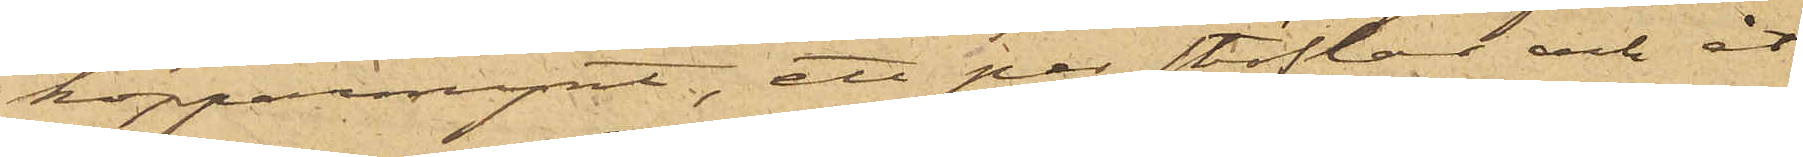kopparmynt, ett par stöflor och åt¬
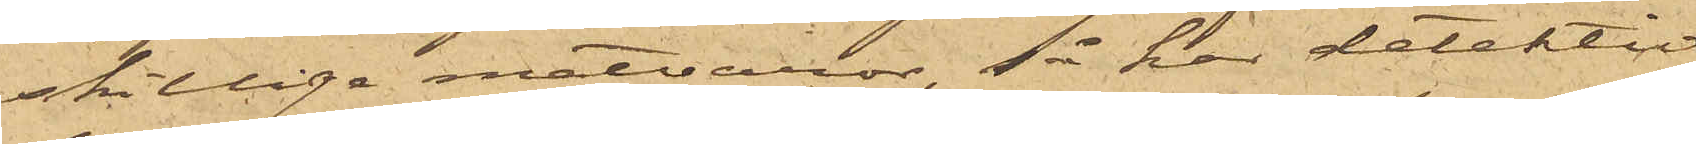skillige matvaror, så har detektiv¬
